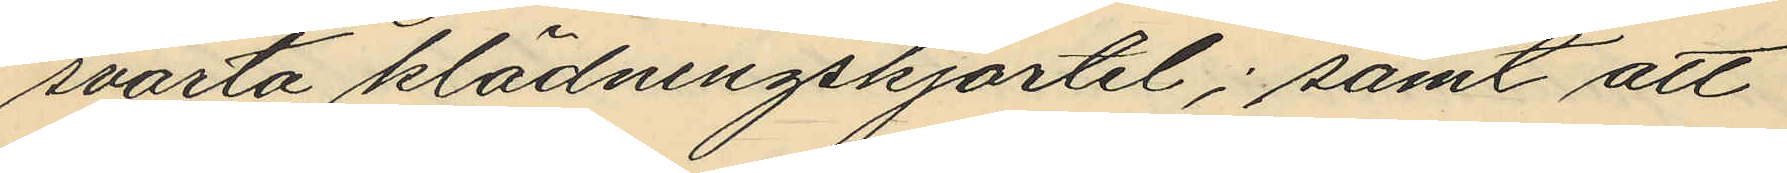svarta klädningskjortel; samt att
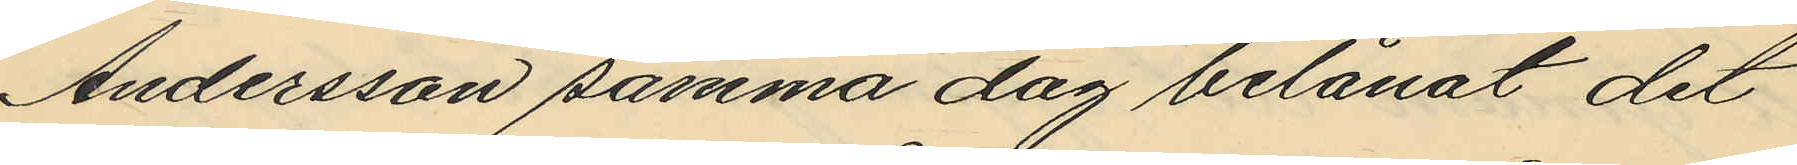Andersson samma dag belånat det
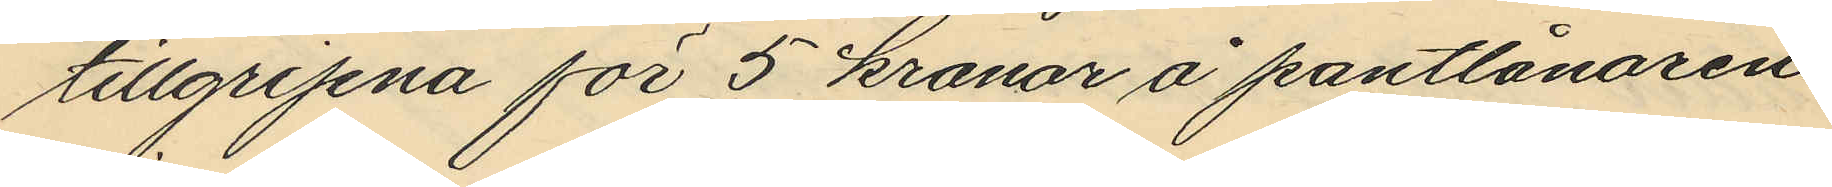tillgripna för 5 kronor å pantlånaren
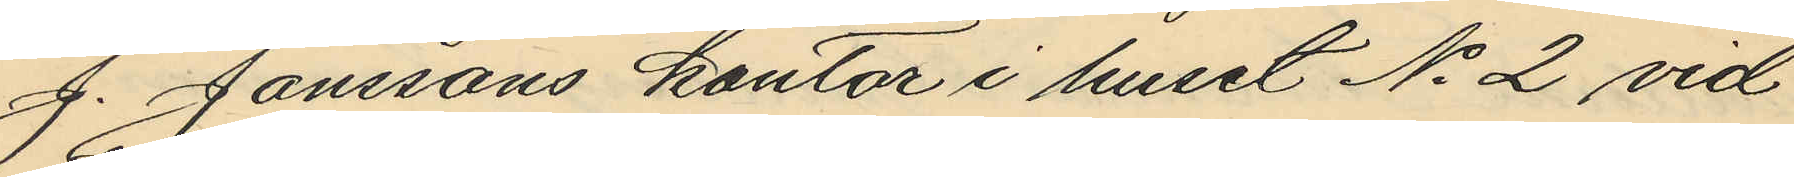J. Janssons kontor i huset No 2 vid
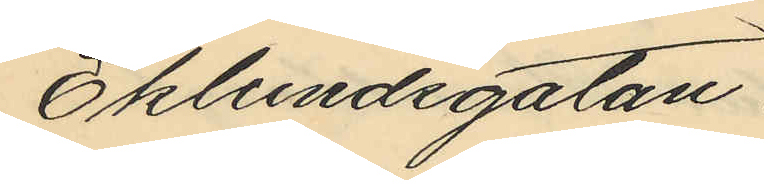Eklundsgatan.
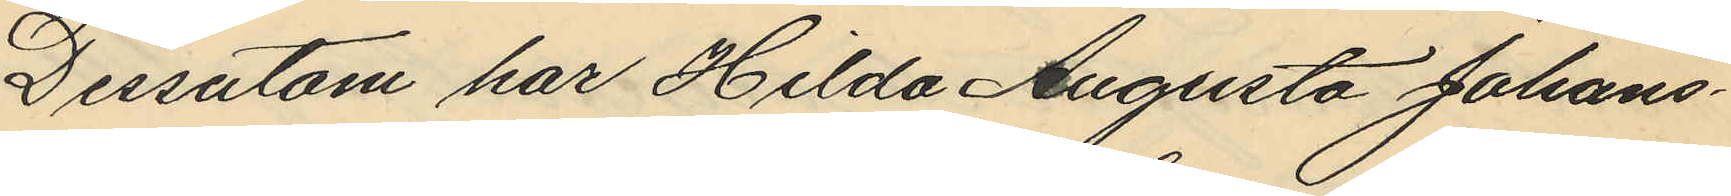Dessutom har Hilda Augusta Johans¬
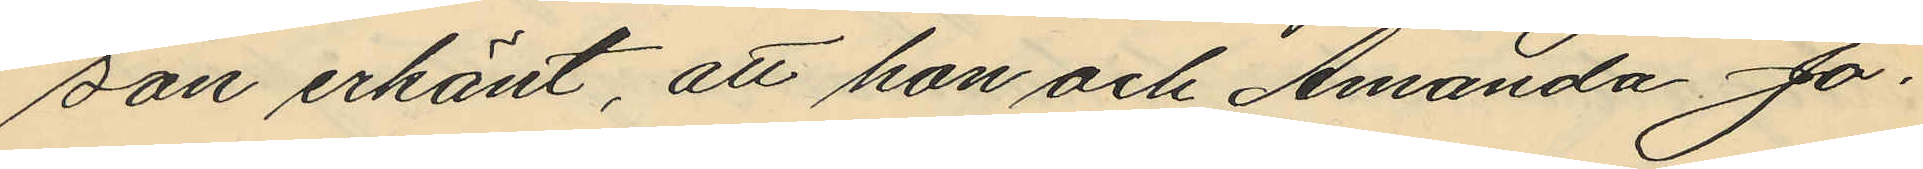son erkänt, att hon och Amanda Jo¬
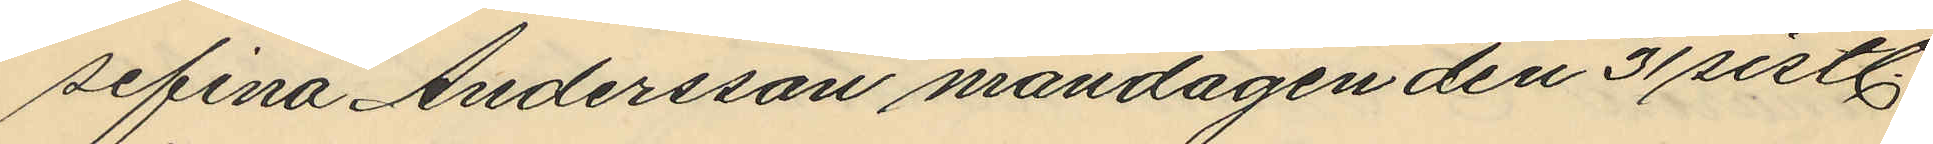sefina Andersson måndagen den 31 sistl.
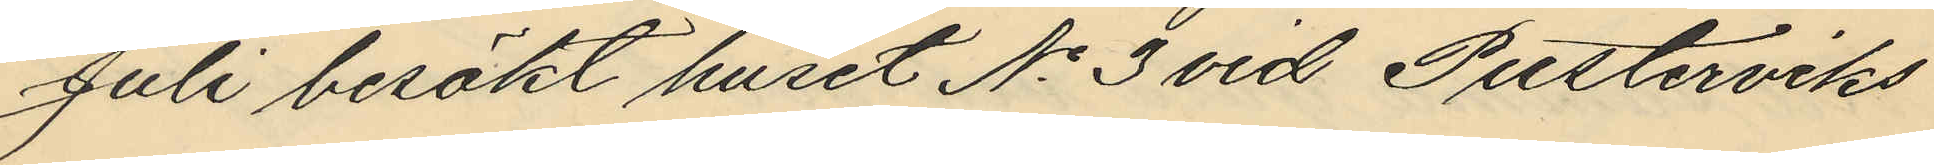Juli besökt huset No 3 vid Pusterviks
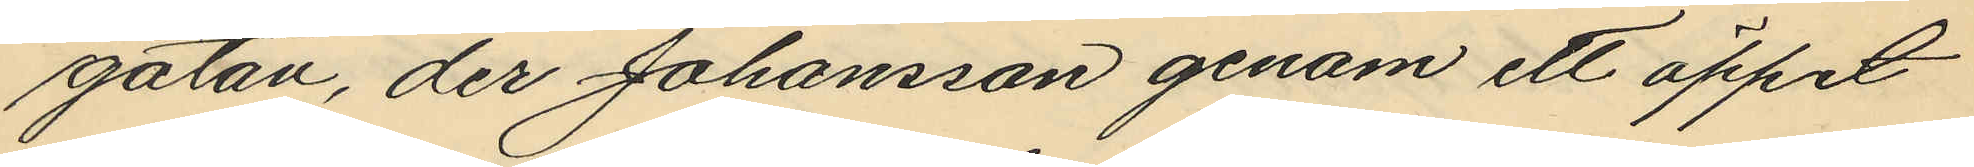gatan, der Johansson genom ett öppet
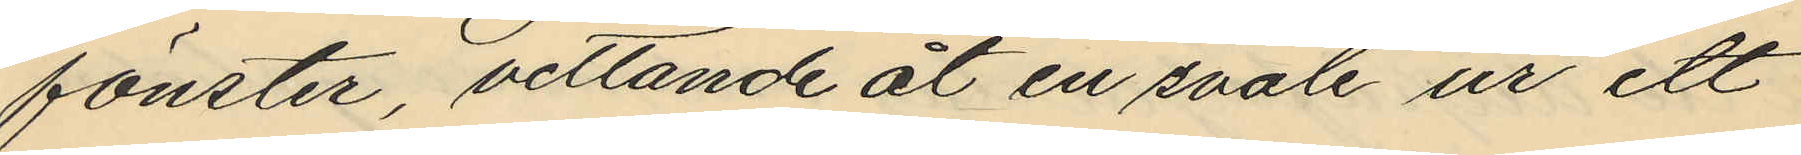fönster, vettande åt en svale ur ett
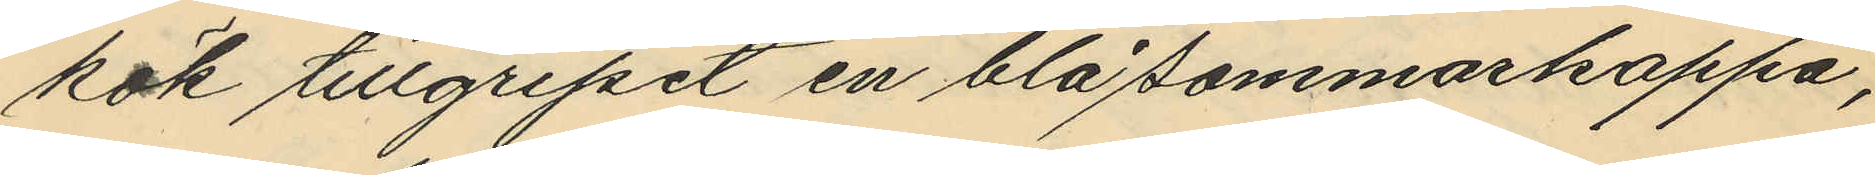kök tillgripit en blå sommarkappa,
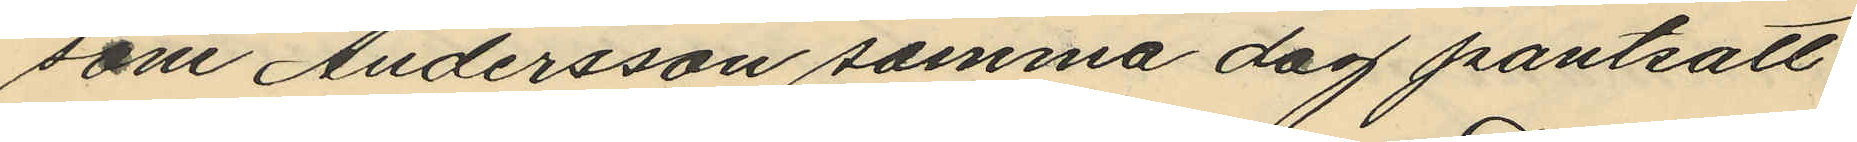som Andersson samma dag pantsatt
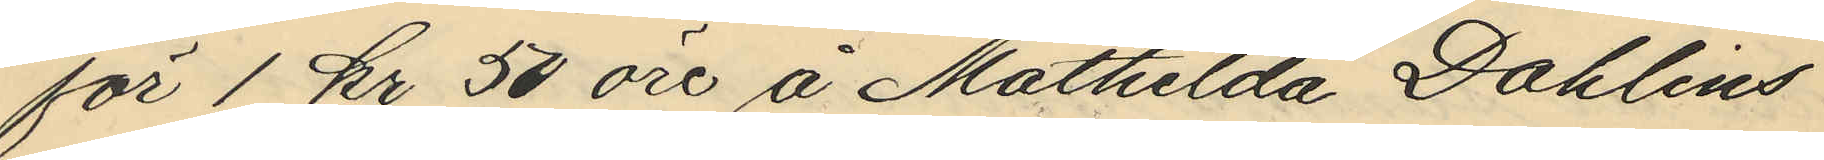för 1 kr 50 öre å Mathilda Dahlins
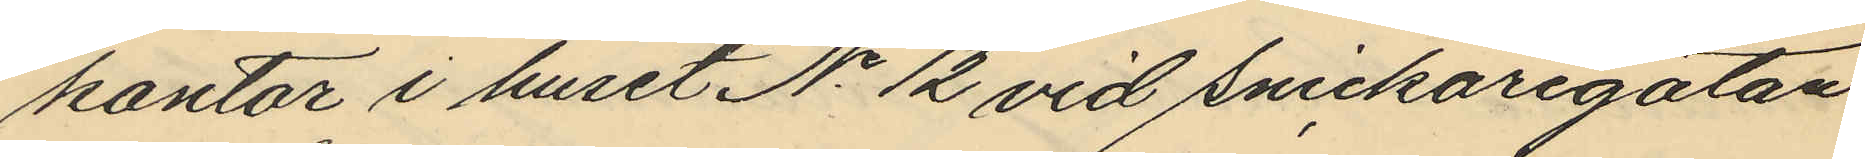kontor i huset No 12 vid Snickaregatan
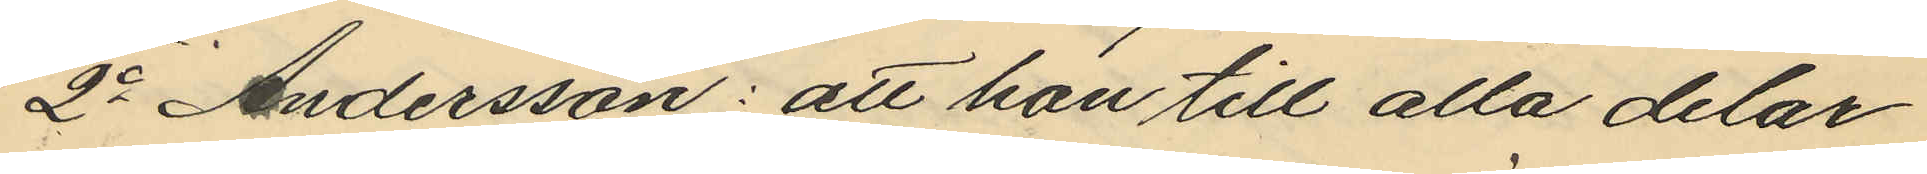2o Andersson: att han till alla delar
